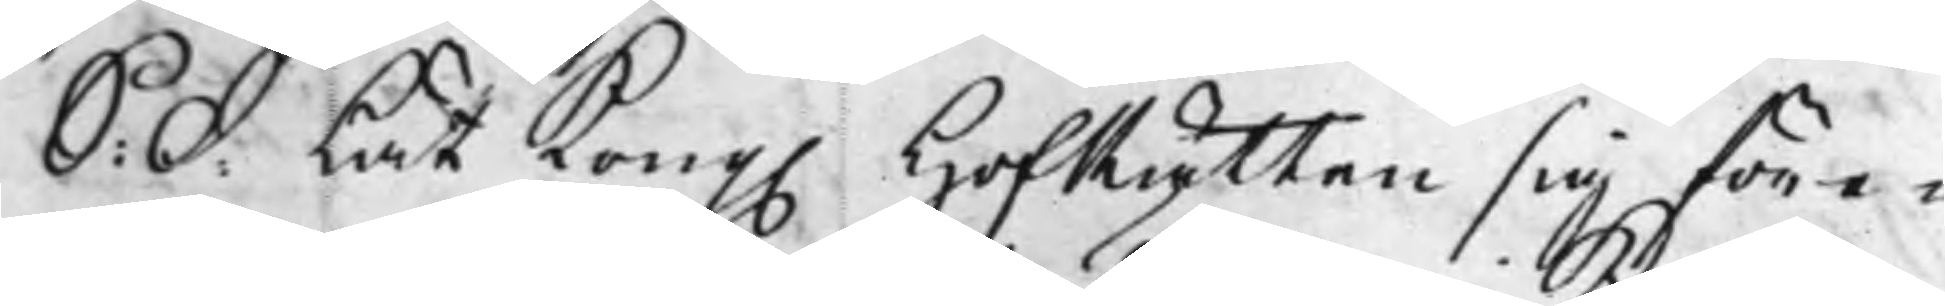S: d: Lät Kong. HofRätten sig före¬
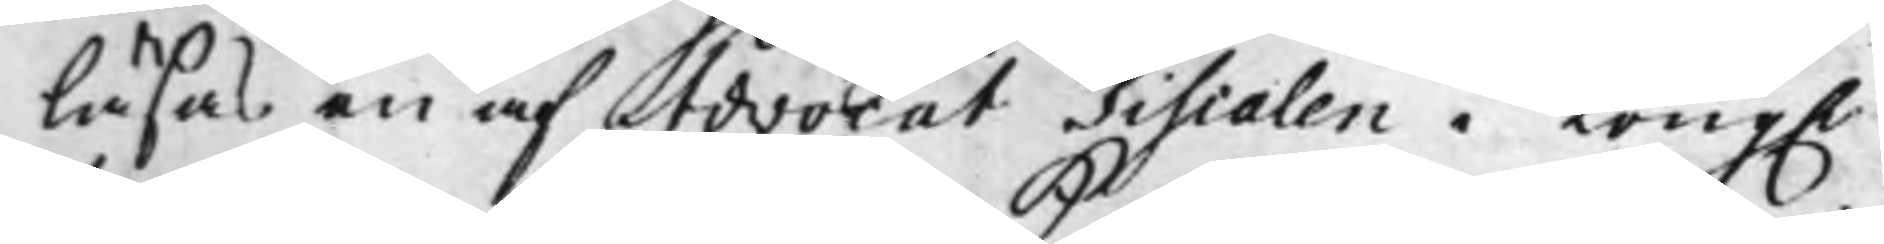läsas en af Advocat Fiscalen i Kong.
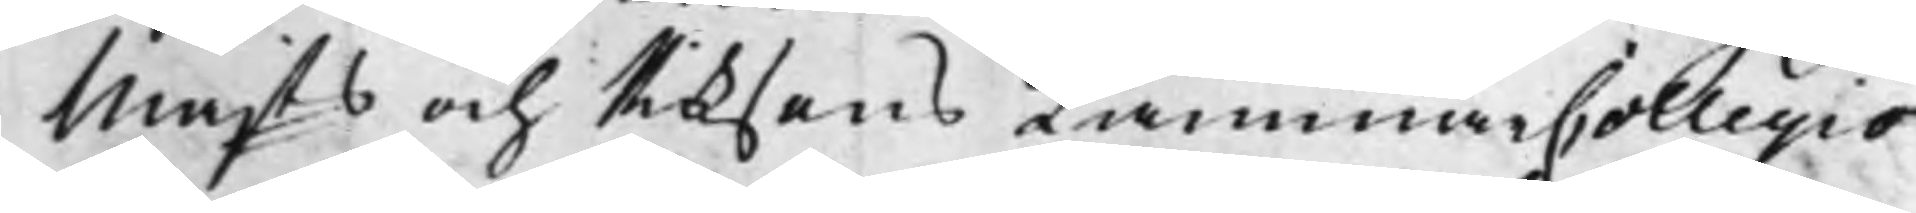Majts och Riksens KammarCollegio
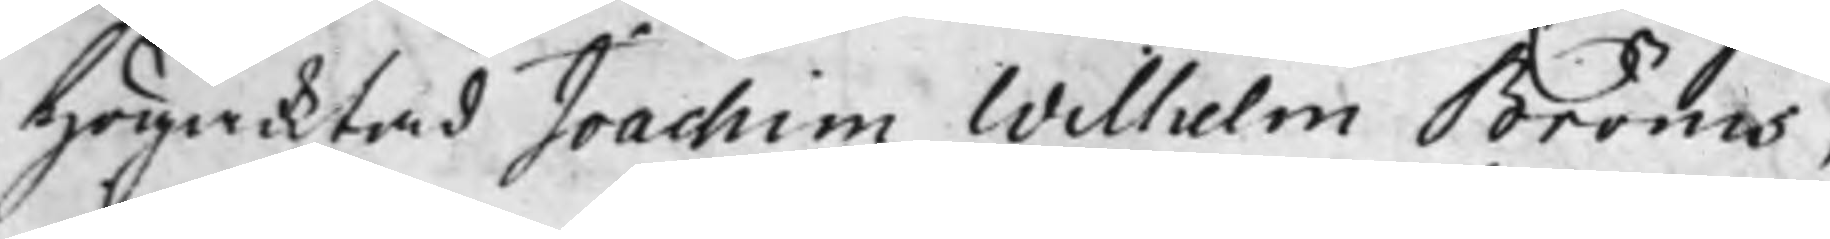högacktad Joachim Wilhelm Bröms,
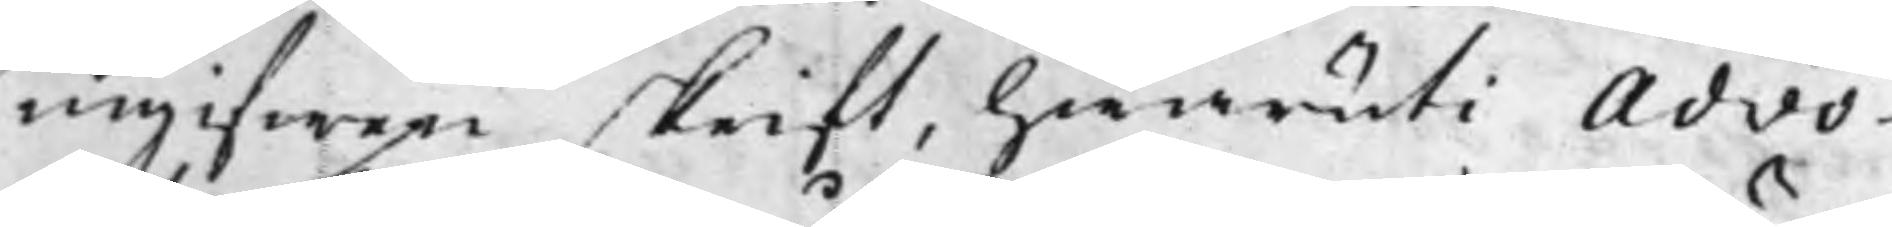ingifwen skrift, hwaruti Advo¬
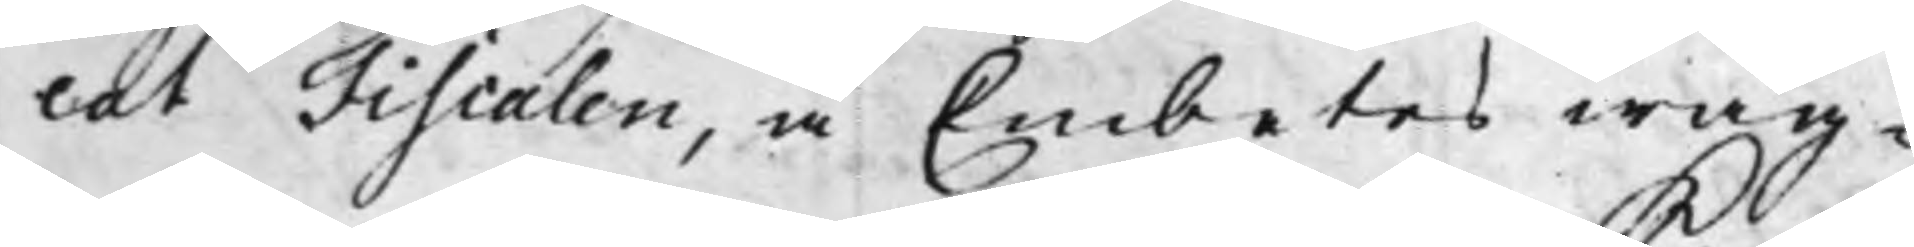cat Fiscalen, å Embetes wäg¬
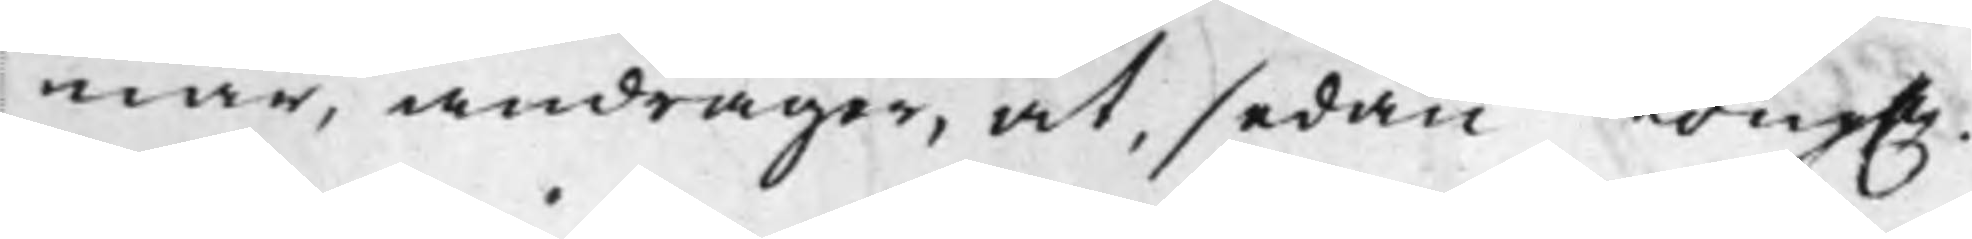nar, andrager, at, sedan Kong.
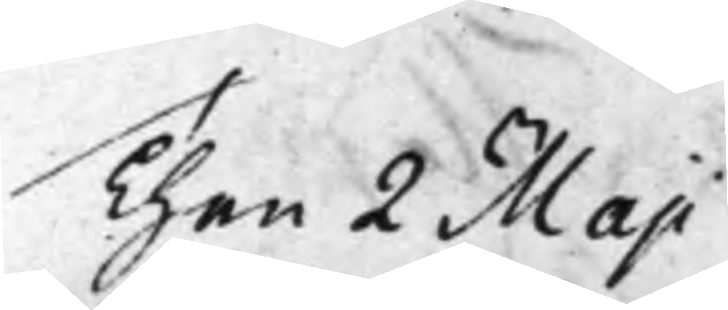Then 2 Maji
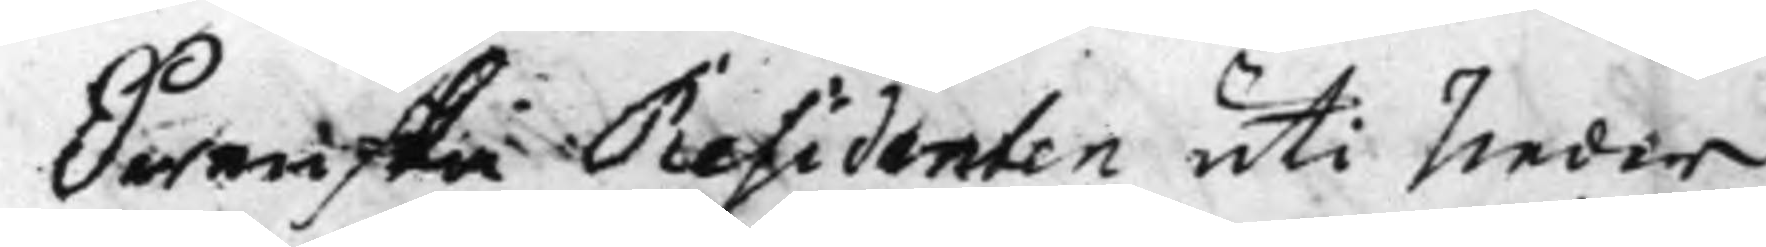Swenska Residenten uti Neder
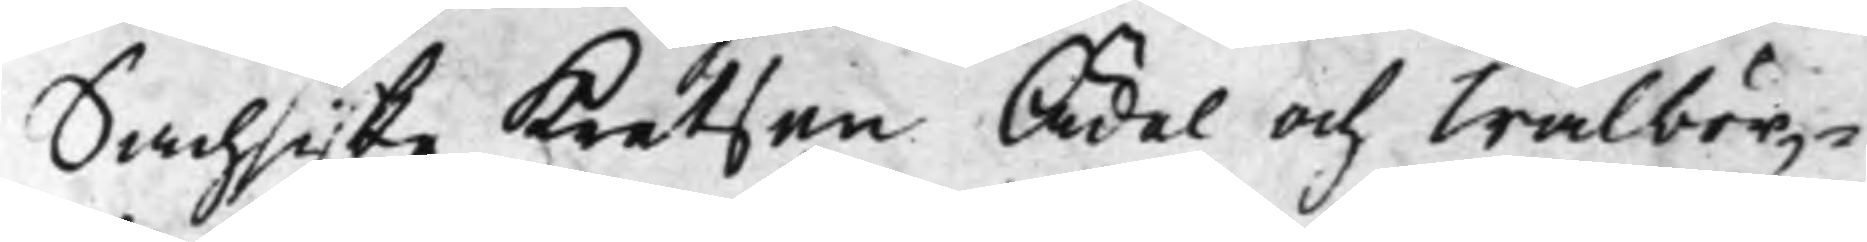Sachsiske Kretsen Ädel och Wälbör¬
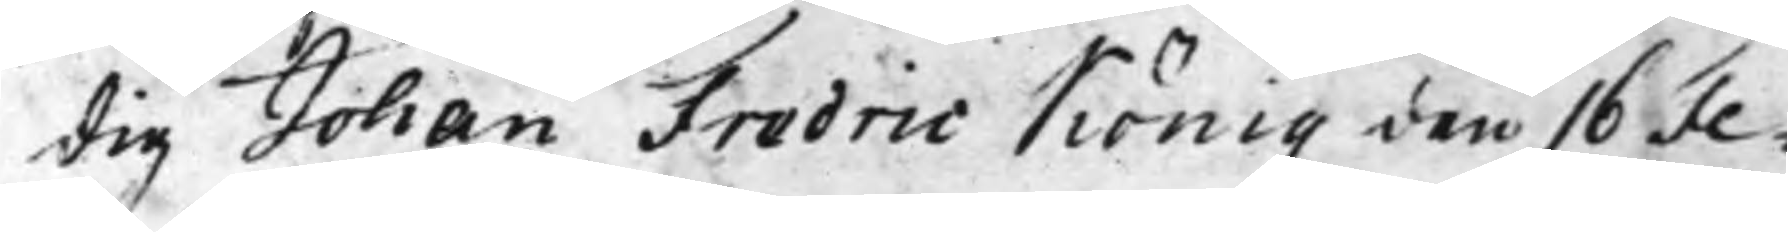dig Johan Fredric König den 16 Fe¬
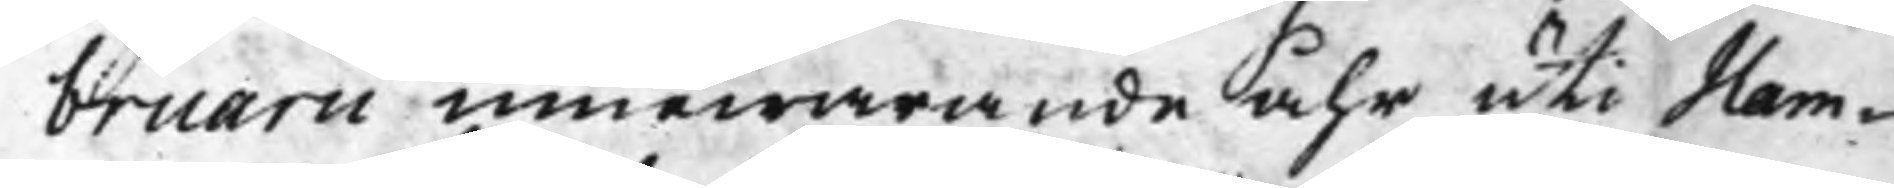bruarii innewarande åhr uti Ham¬
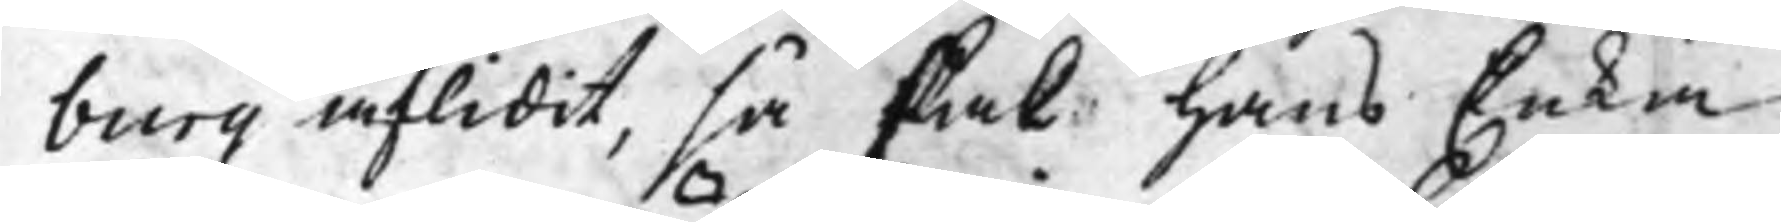burg aflidit, så skal hans Enka
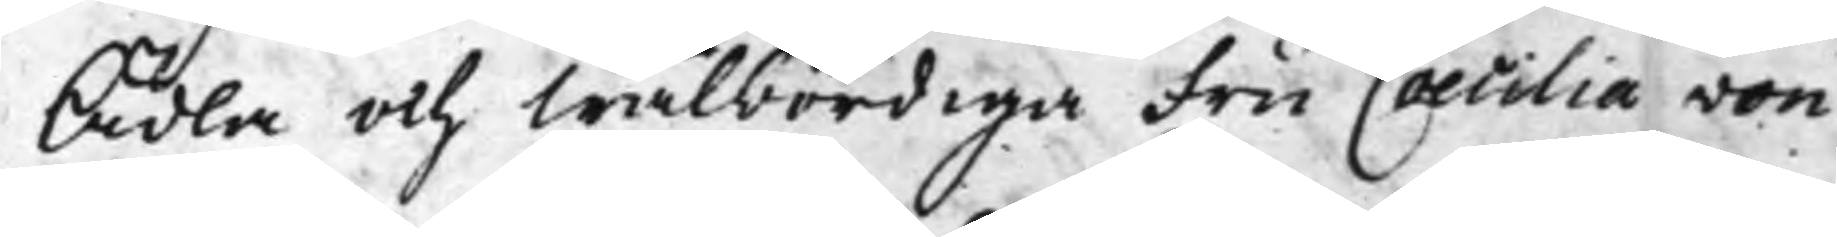Ädla och Wälbördiga Fru Caecilia von
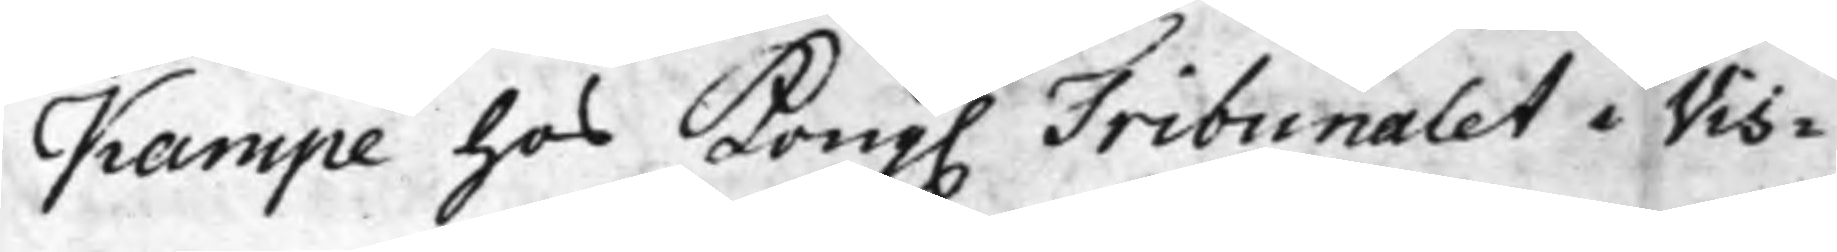Kampe hos Kong. Tribunalet i Vis¬
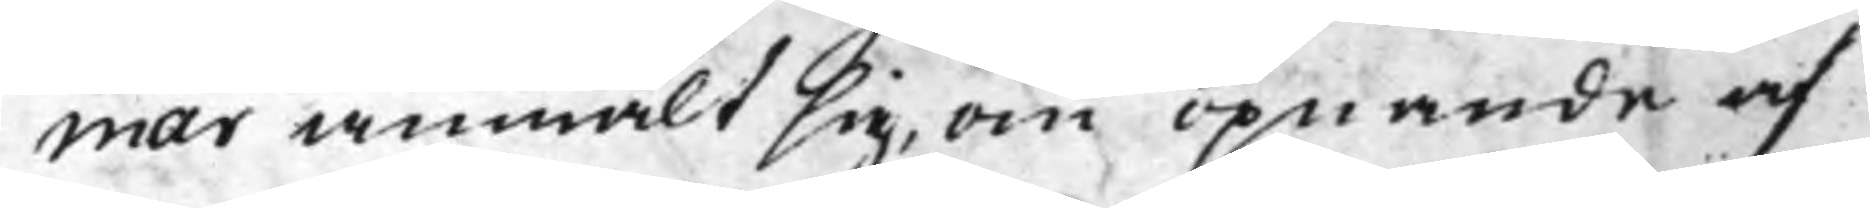mar anmält sig, om öpnande af
